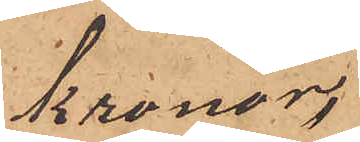Kronor.
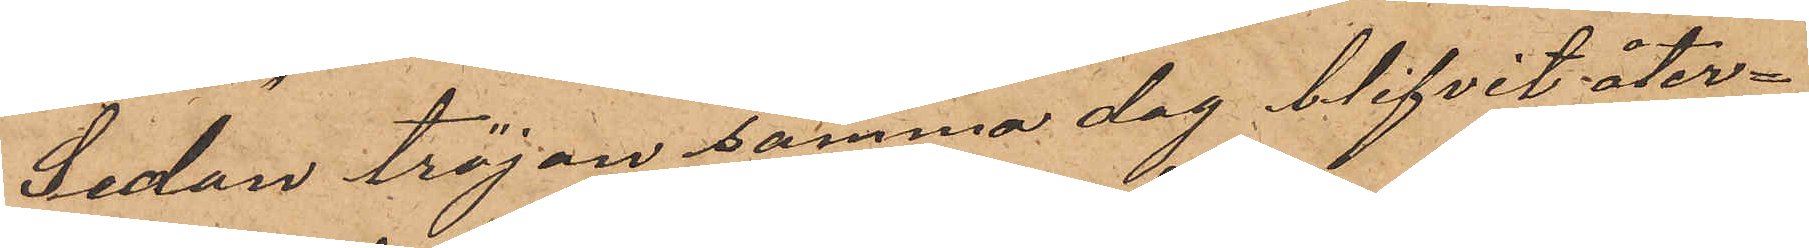Sedan tröjan samma dag blifvit åter¬
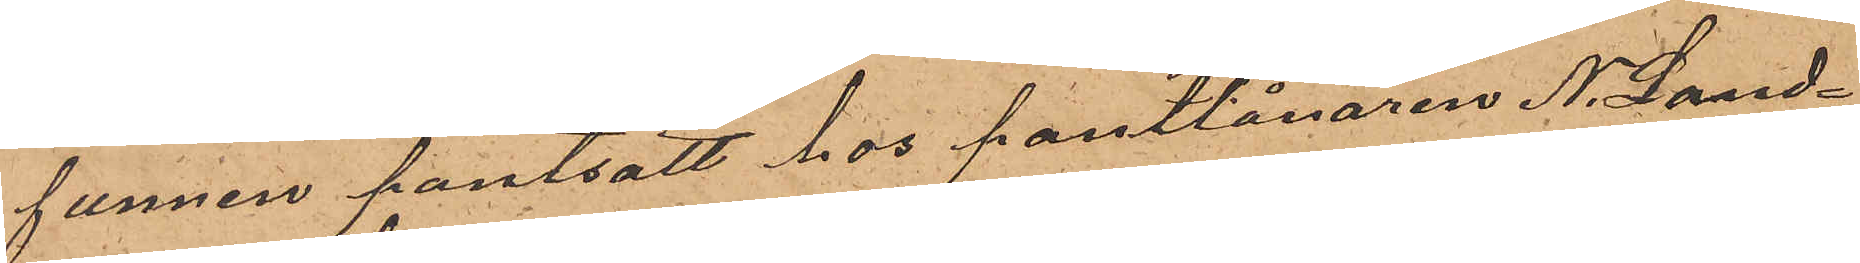funnen pantsatt hos pantlånaren N. Land¬
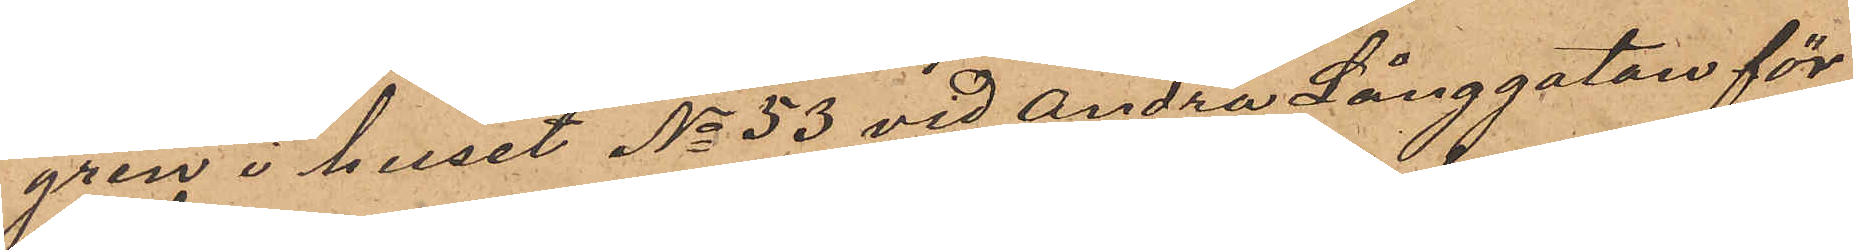gren i huset No 53 vid Andra Långgatan för
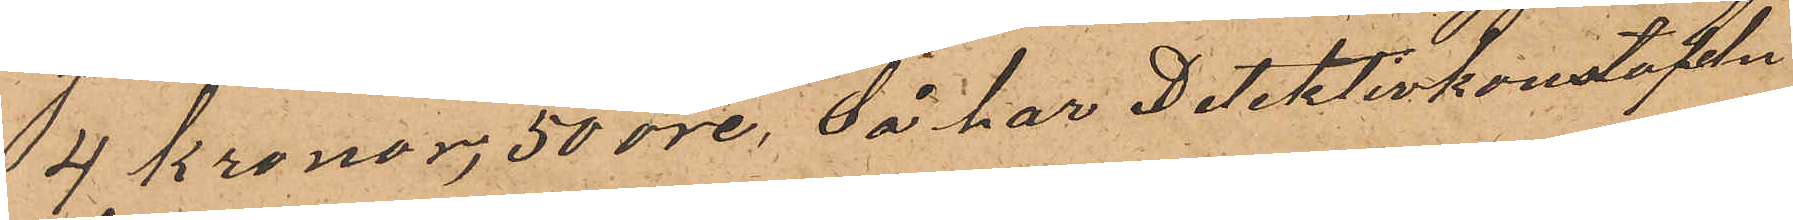4 Kronor 50 öre, så har Detektivkonstapeln
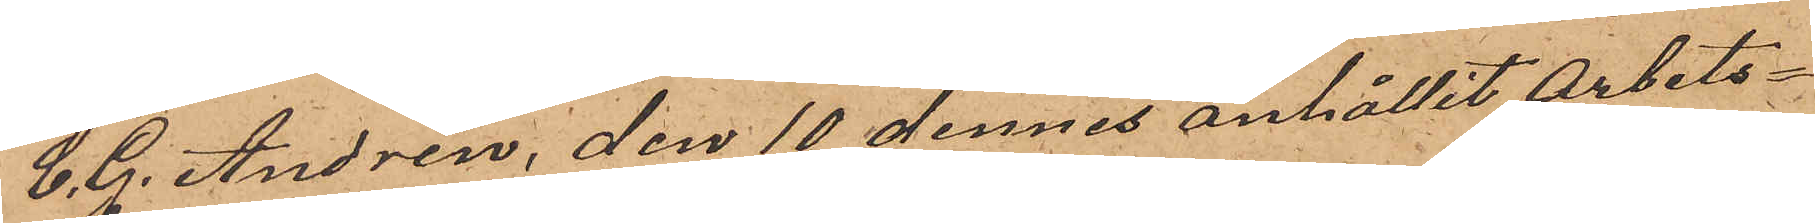C. G. Andrén, den 10 dennes anhållit Arbets¬
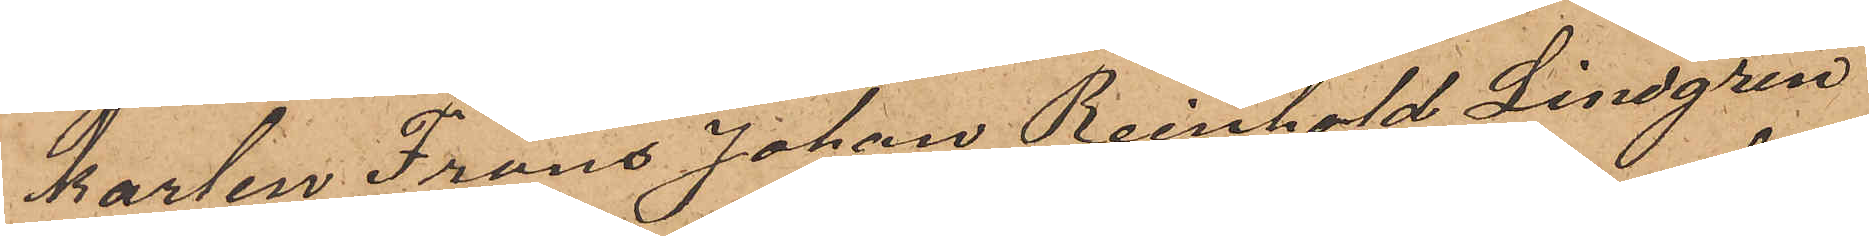karlen Frans Johan Reinhold Lindgren
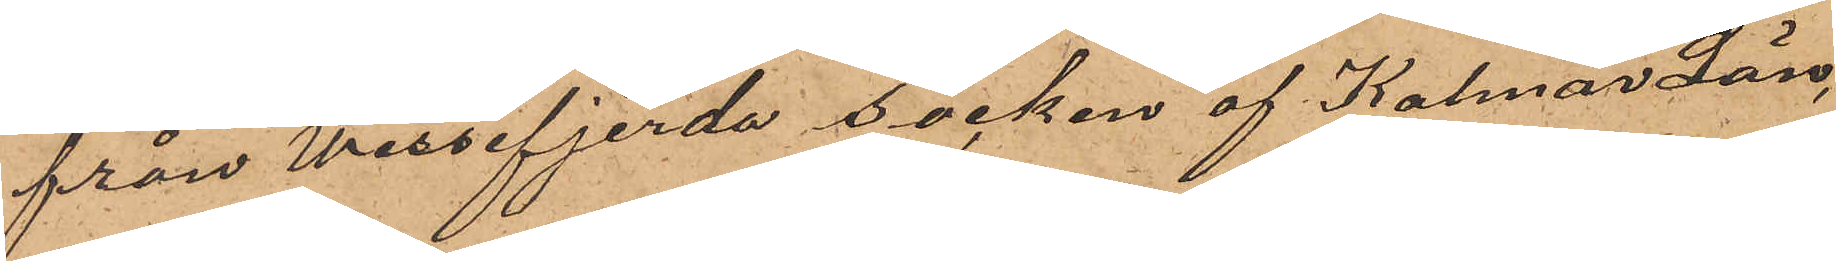från Wissefjerda Socken af Kalmar Län,
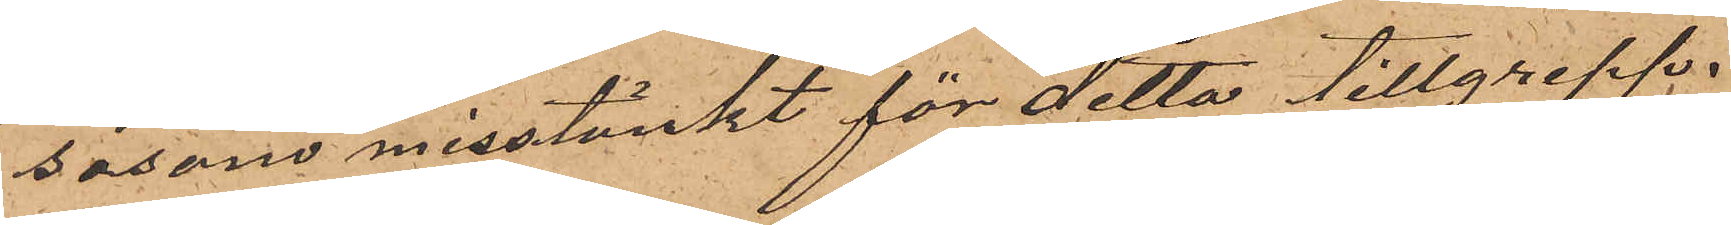såsom misstänkt för detta tillgrepp.
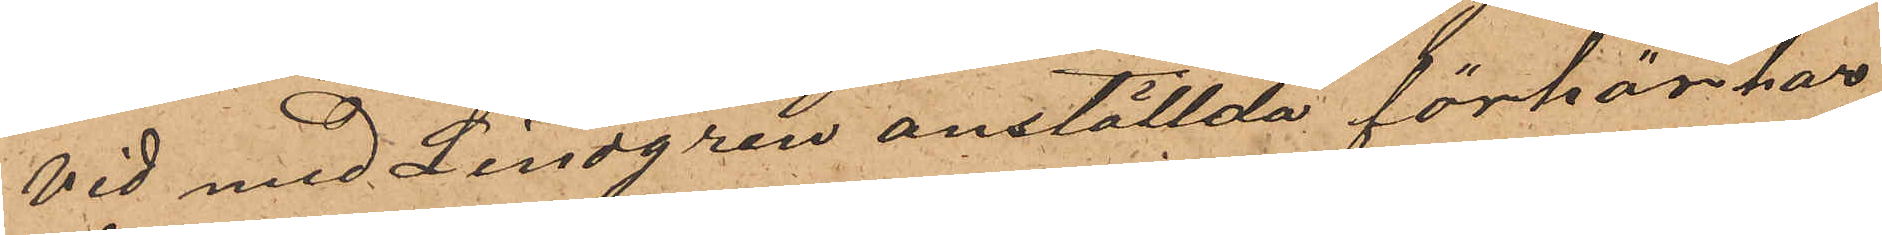Vid med Lindgren anställda förhör har
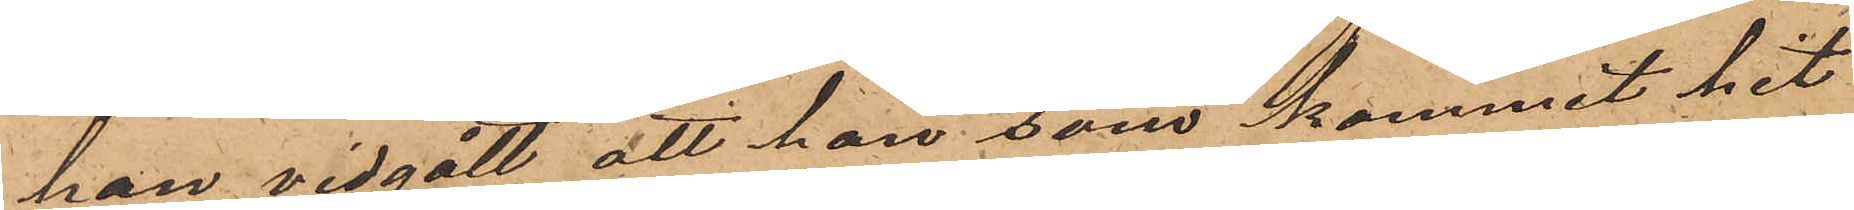han vidgått att han, som kommit hit
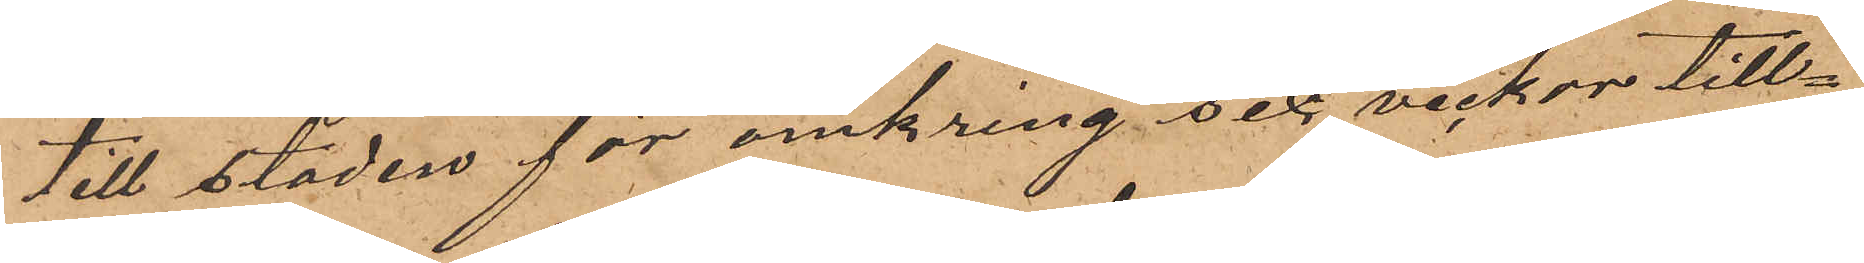till staden för omkring sex veckor till¬
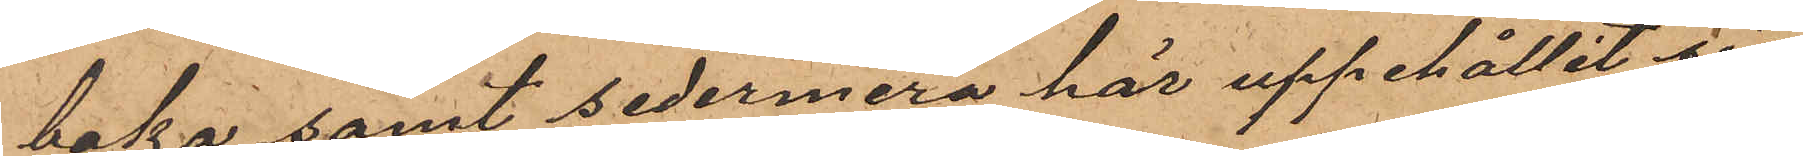baka samt sedermera här uppehållit sig
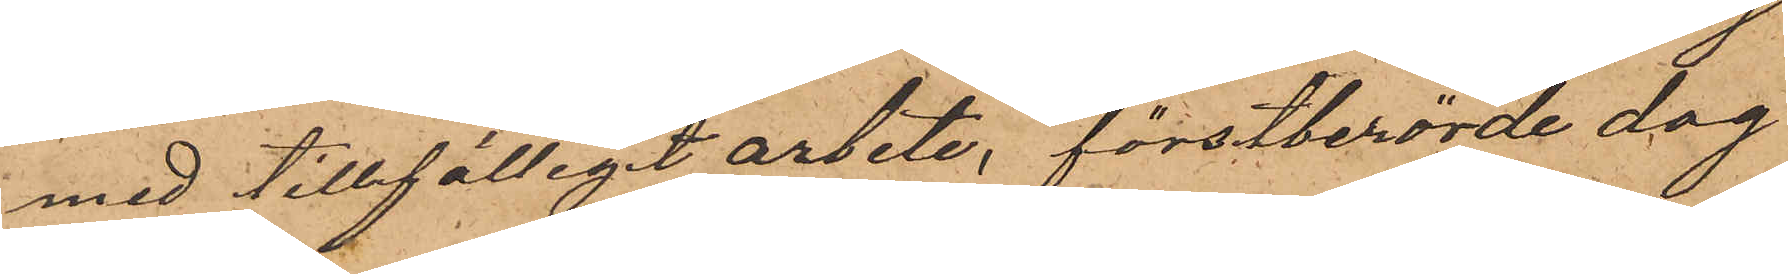med tillfälligt arbete, förstberörde dag
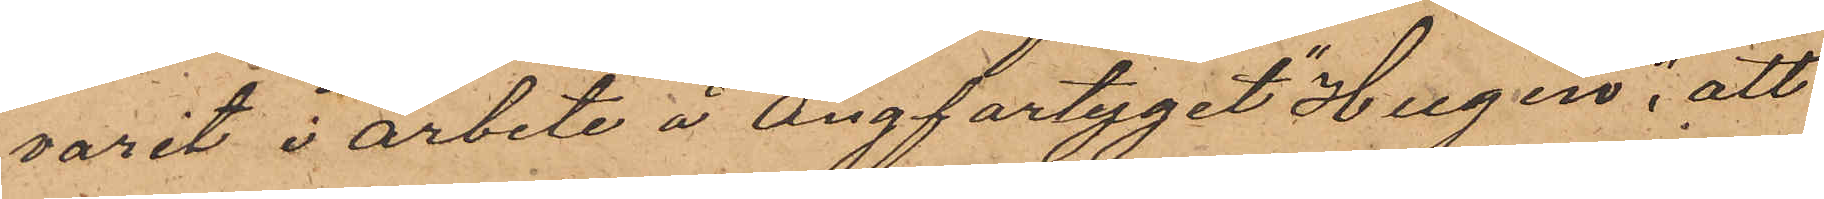varit i arbete å Ångfartyget "Hugin"; att
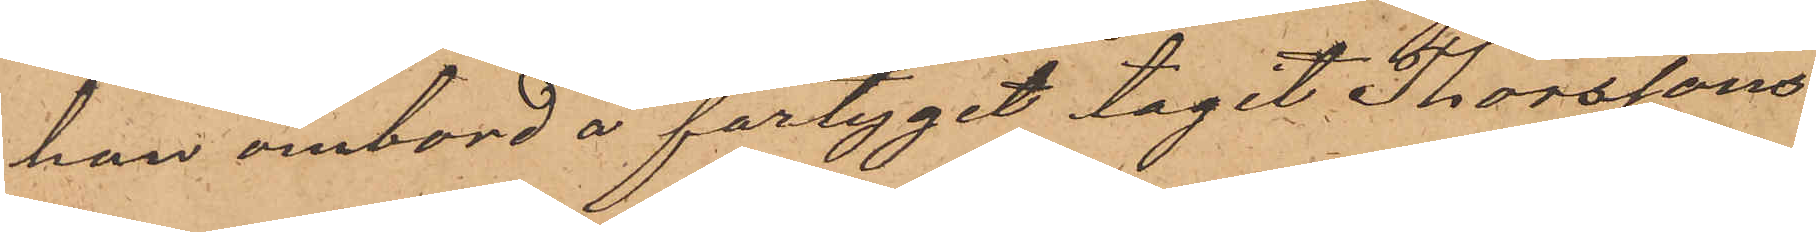han ombord å fartyget tagit Thorssons
